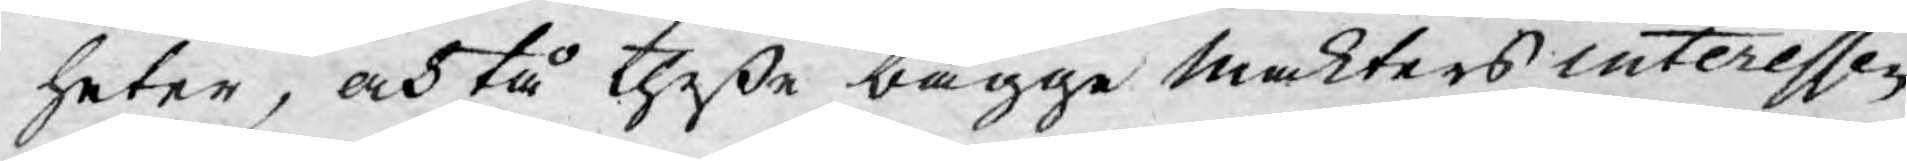heter, och tå theße bägge makters interessen
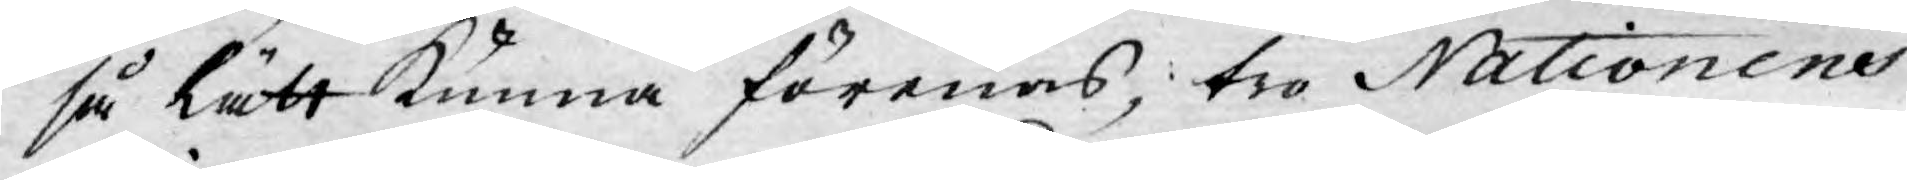så lätt kunna förenas, tro Nationens
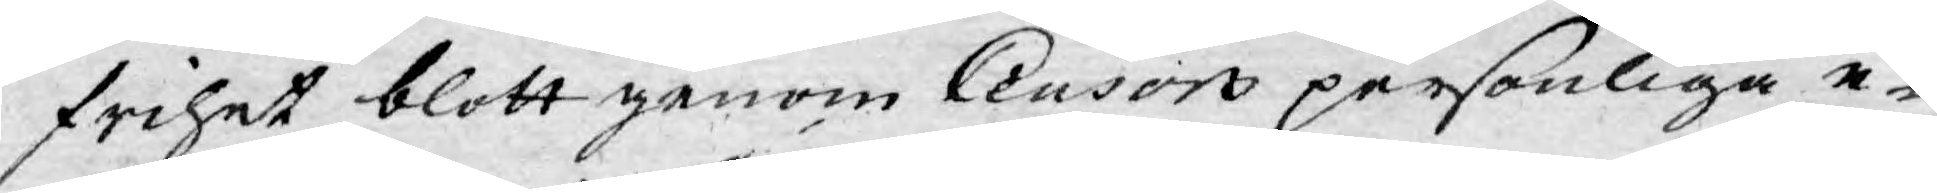frihet blott genom Censors personliga e-
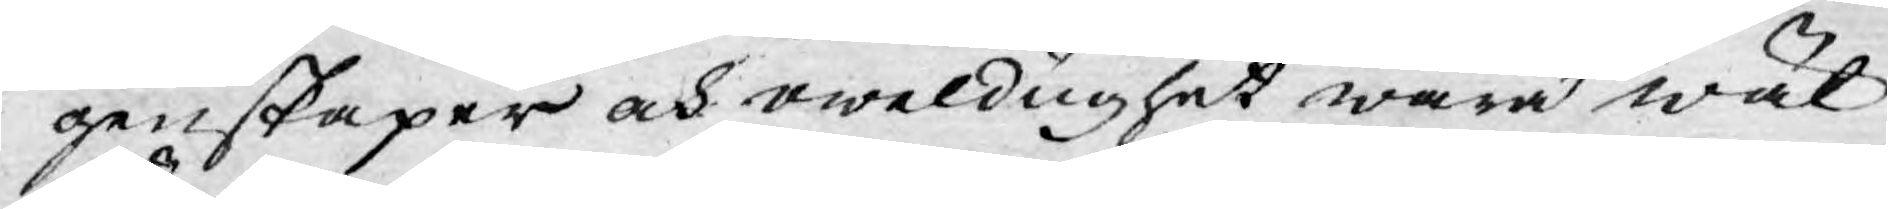genskaper och oweldughet wara wäl
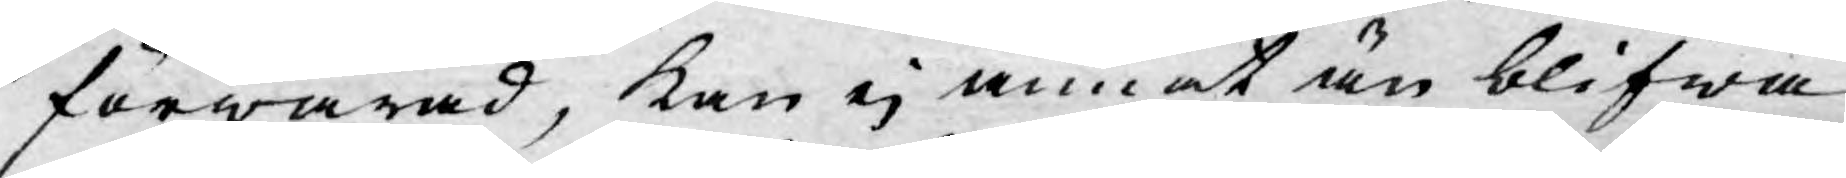förwarad, kan ej annat än blifwa
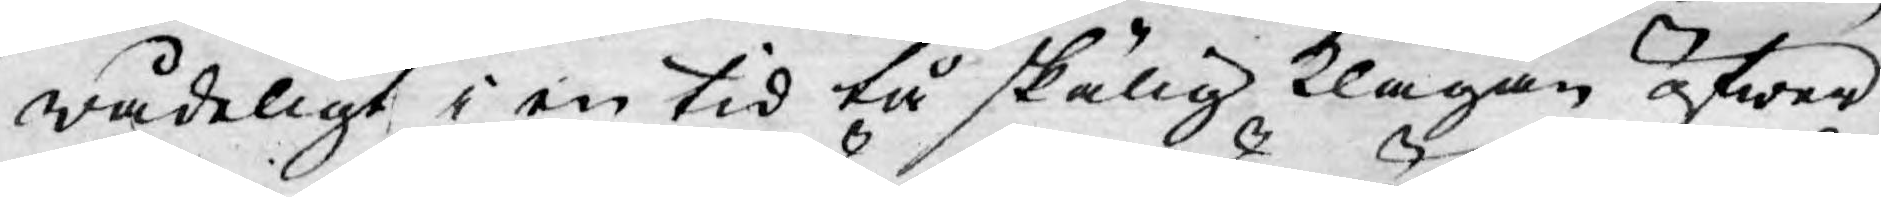wådeligt i en tid tå skälig klagan öfwer
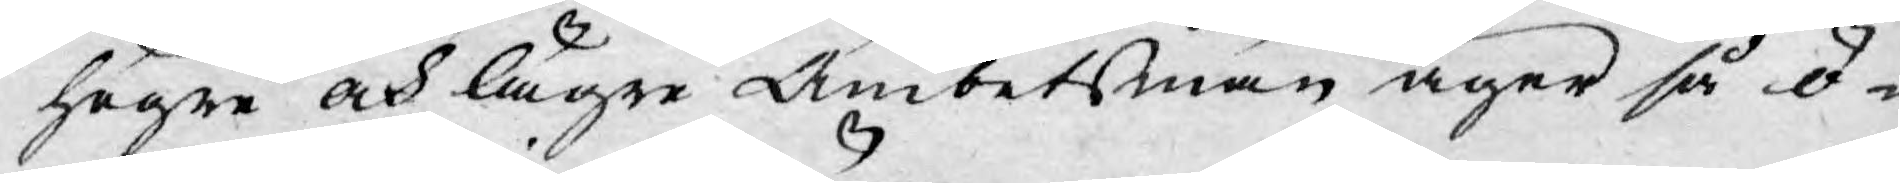högre och lägre Ämbetsmän äger så ö¬
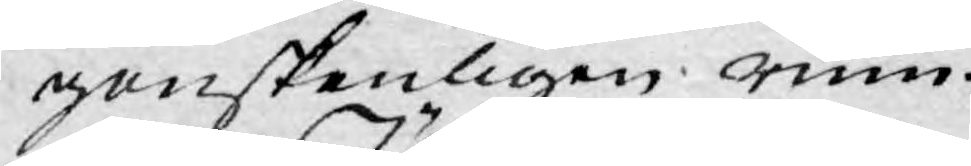gonskenligen rum.
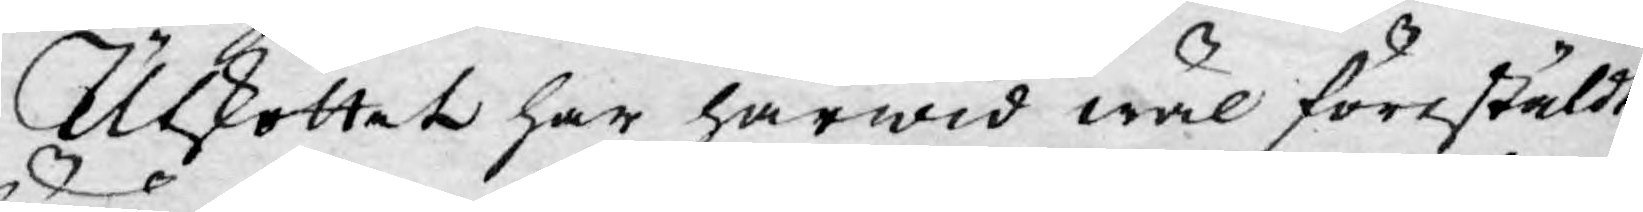Utskottet har härwid wäl förestäldt
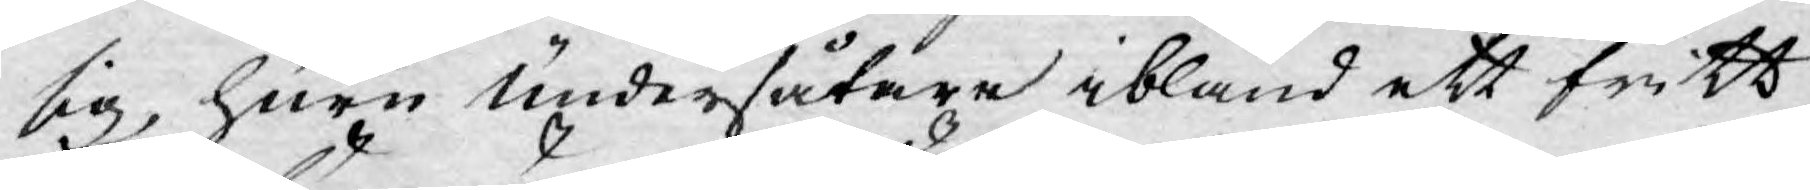sig, huru undersåtare ibland ett fritt
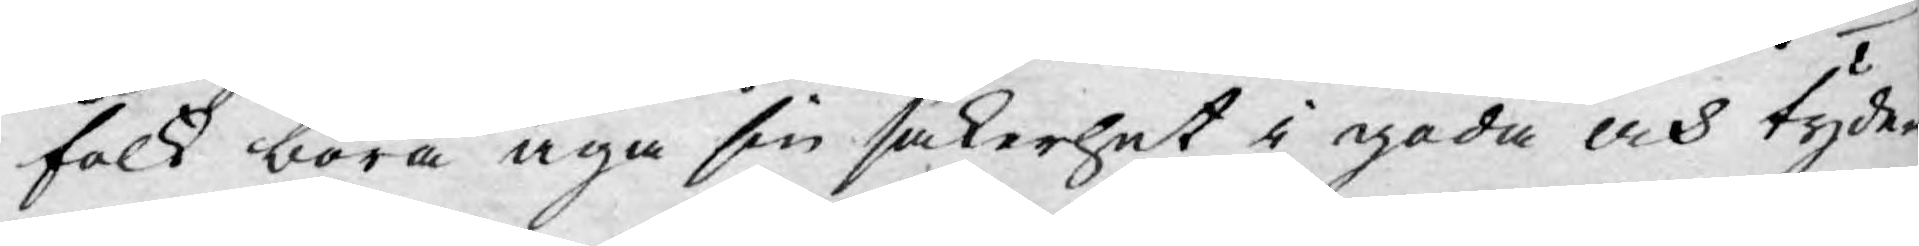folk böra äga sin säkerhet i goda och tyde¬
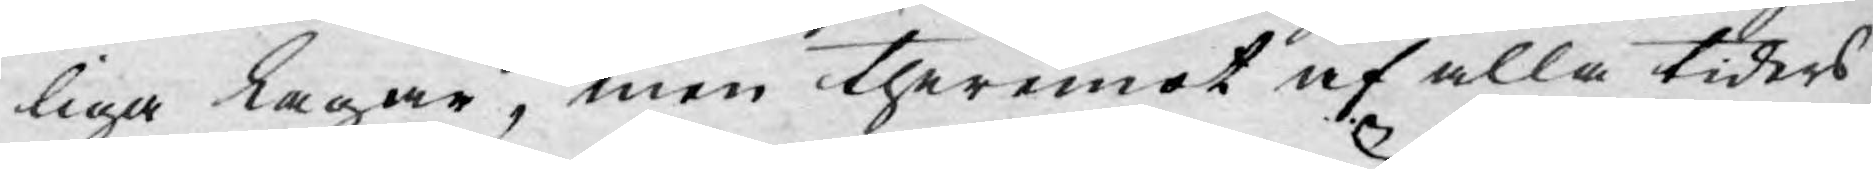liga lagar, men theremot af alla tiders
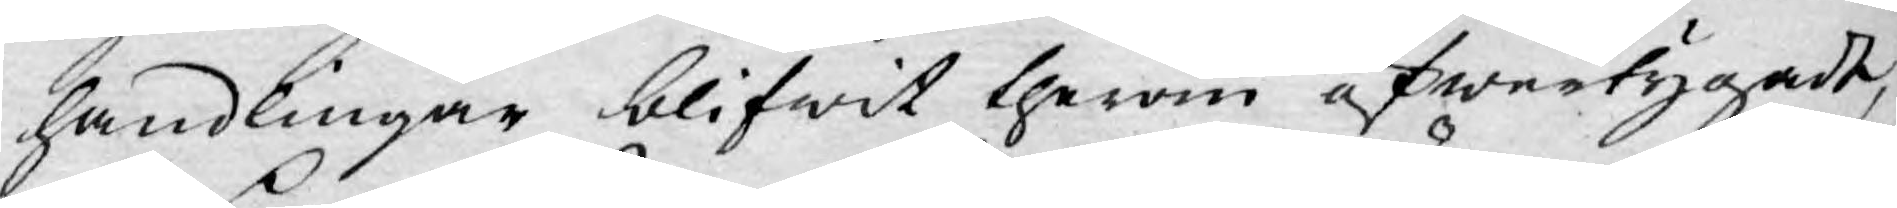handlingar blifwit therom öfwertygade,
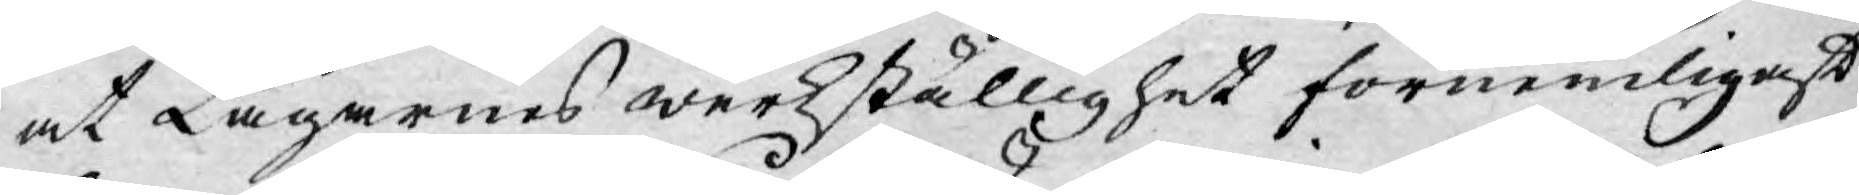at Lagarnes werkställighet förnemligast
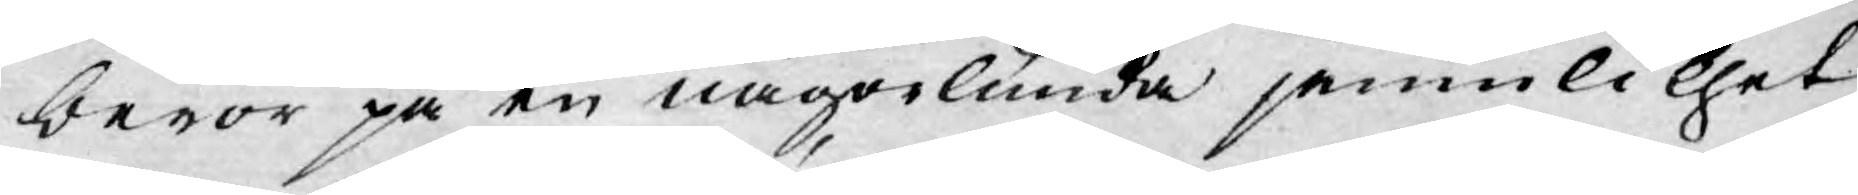beror på en någorlunda jemnlikhet
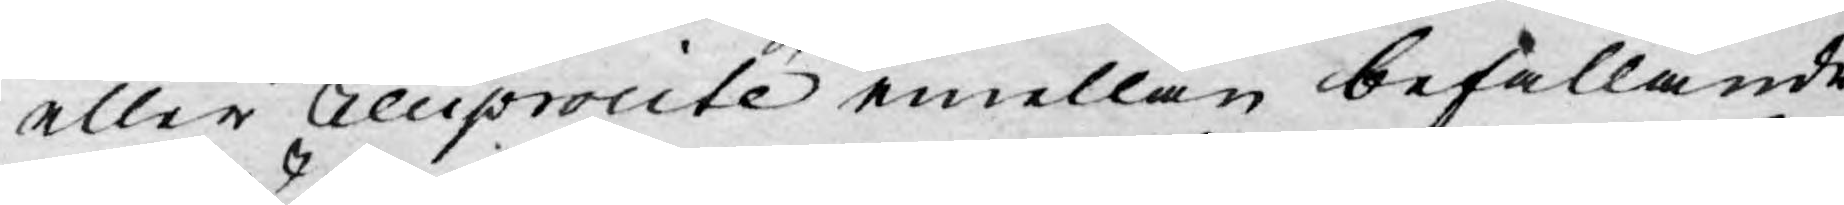eller Reciprocié emellan befallande
